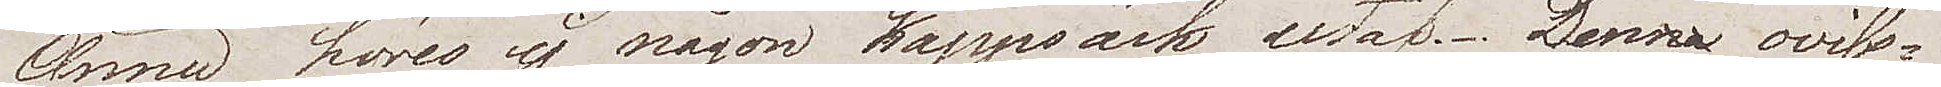Ännu höres ej någon kappsäck utaf. Denna oviss¬
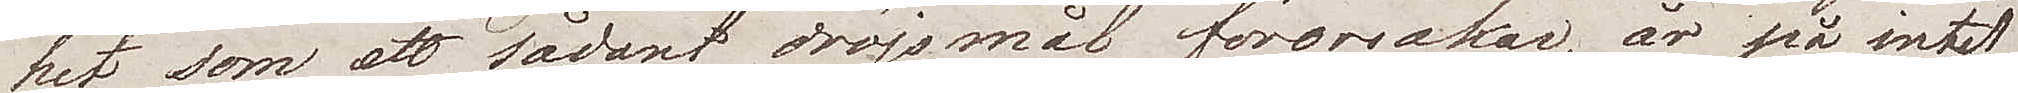het som ett sådant dröjsmål förorsakar, är på intet
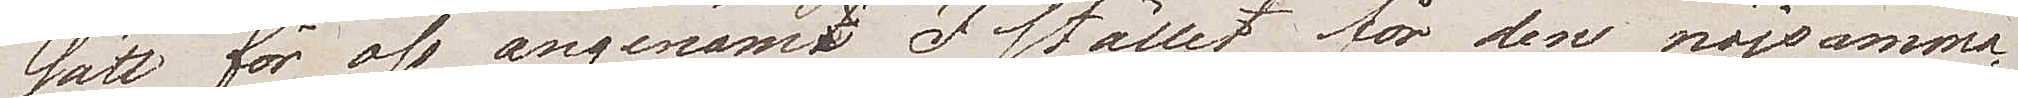sätt för oss angenäm. I stället för den nöjsamma¬
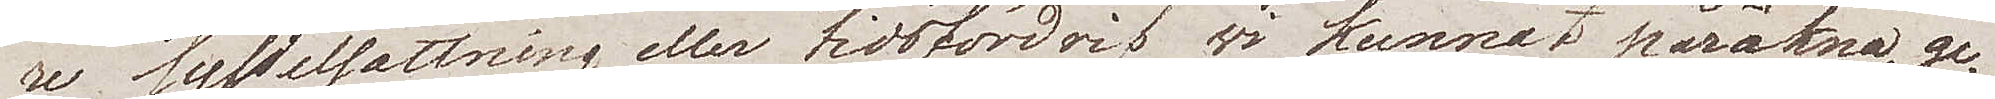re sysselsättning eller tidsfördrif wi kunnat påräkna, ge¬
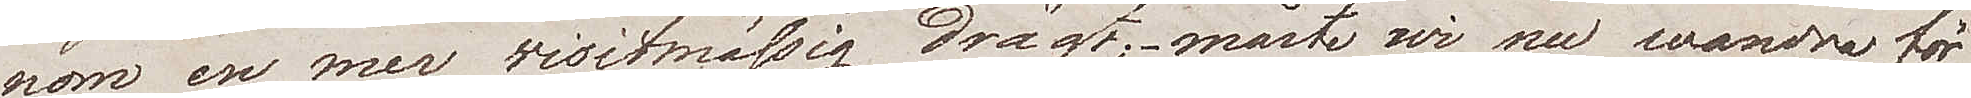nom en mer visitmässig drägt, måste wi nu wandra för
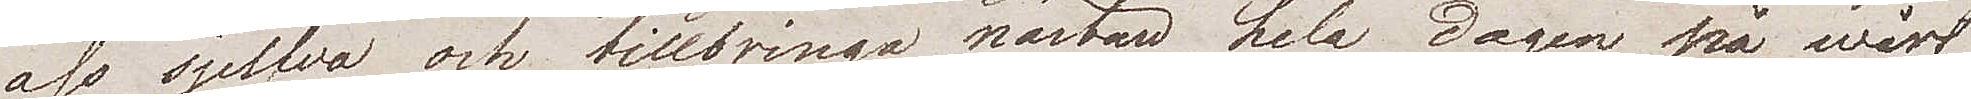oss sjelfva och tillbringa nästan hela dagen på wårt
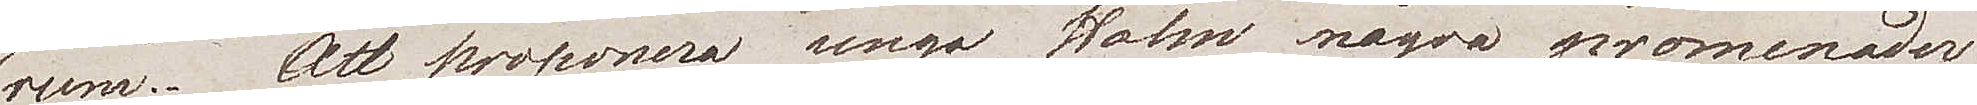rum. Att proponera unge Holm några promenader
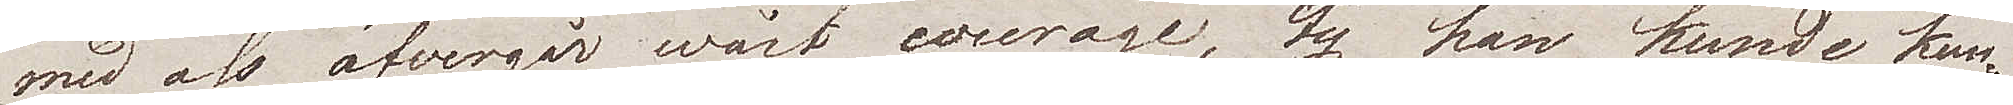med oss öfvergår wårt courage, ty han kunde kan¬
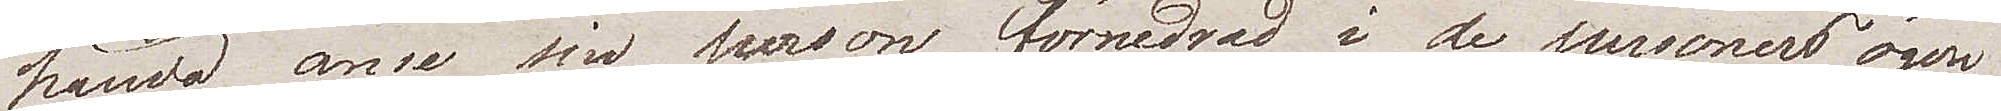hända anse sin person förnedrad i de personers ögon
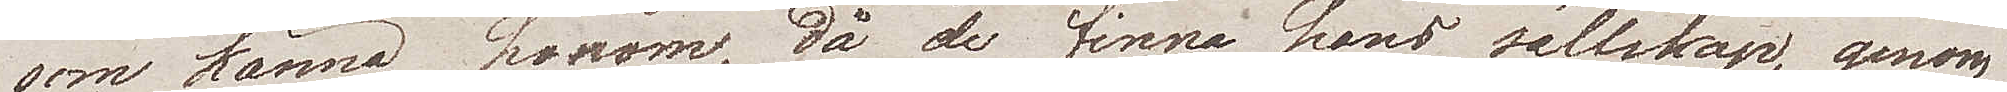som känna honom, då de finna hans sällskap genom
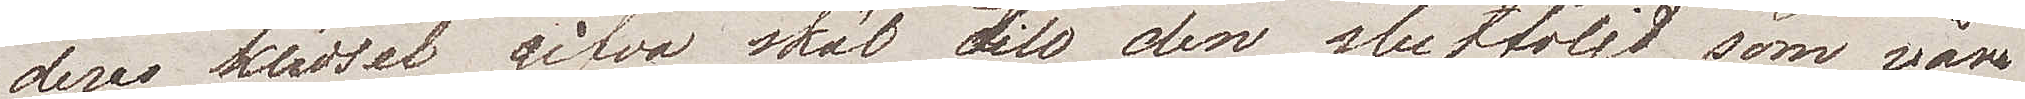dess klädsel gifva skäl till den slutföljd som våra
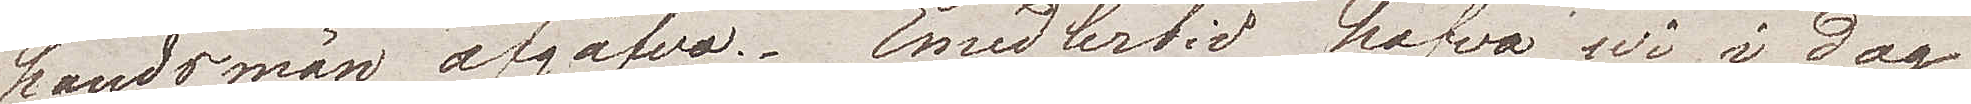landsmän afgåfvo. Emedlertid hafva wi i dag 
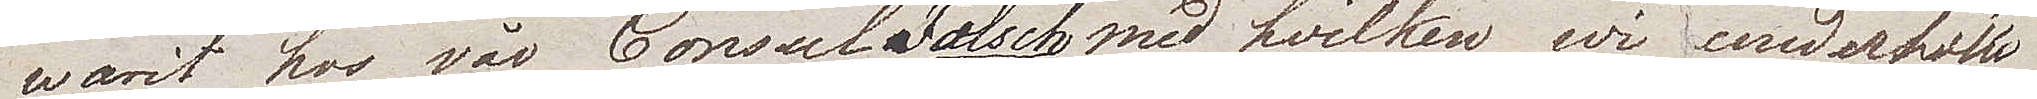warit hos vår Consul Fölsch med hvilken wi underhöllo
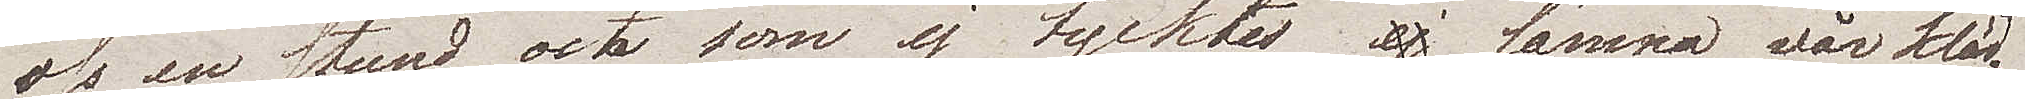oss en stund och som ej tycktes lämna wår kläd¬
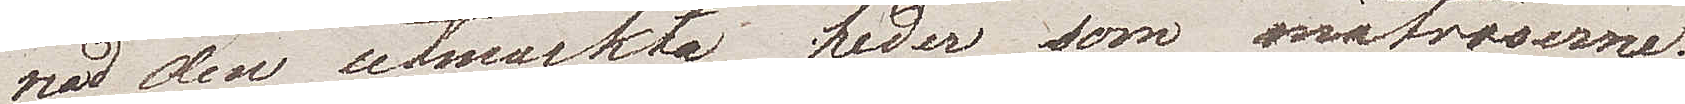sel den utmärkta heder som matroserne.
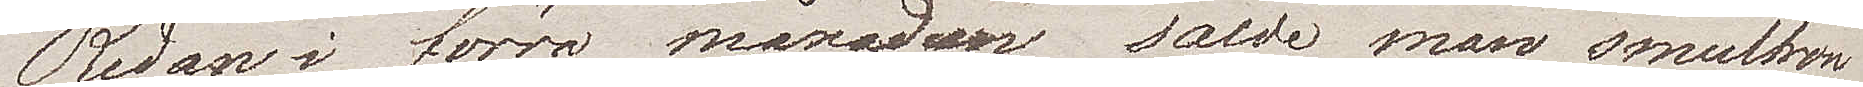Redan i förra månaden sådde man smultron
